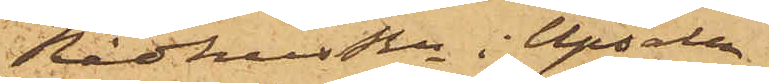Rådhusrttn i Upsala
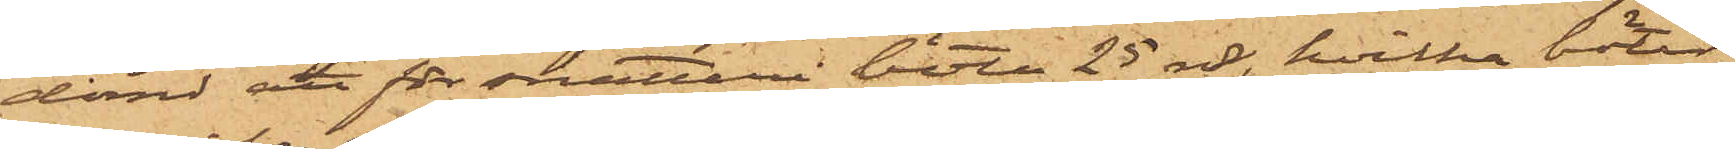dömd att för snatteri böta 25 rdr, hvilka böter
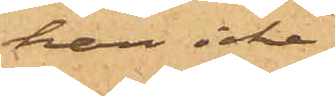han icke
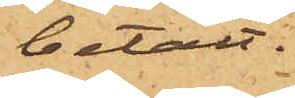betalt.
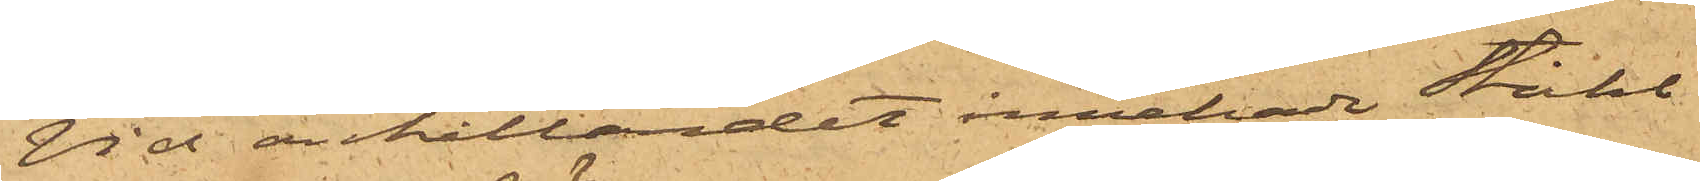Vid anhållandet innehade Ståhl
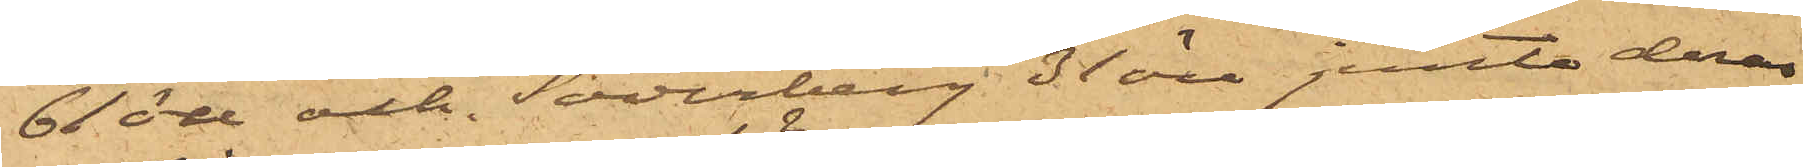61 öre och Söderberg 31 öre jemte deras
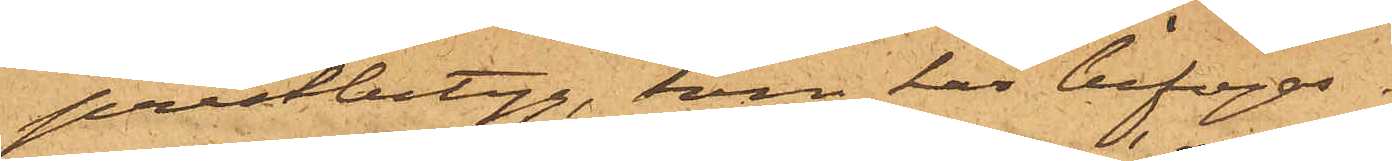prestbetyg, som här bifogas.
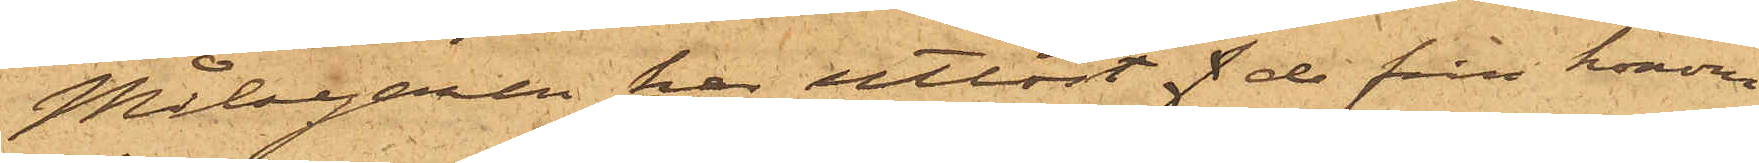Målsegaren har utlöst f de från honom
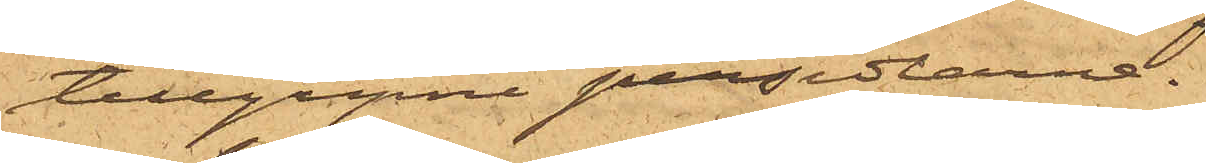tillgripne persedlarne.
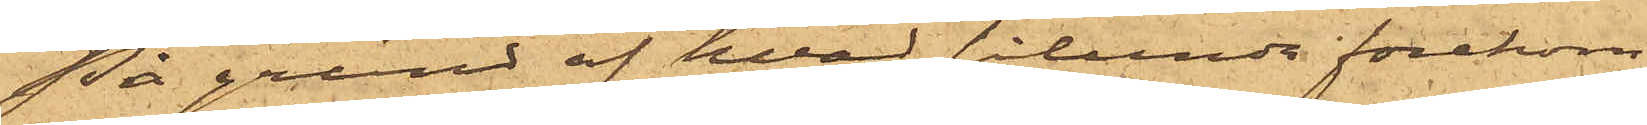På grund af hvad sålunda förekom¬
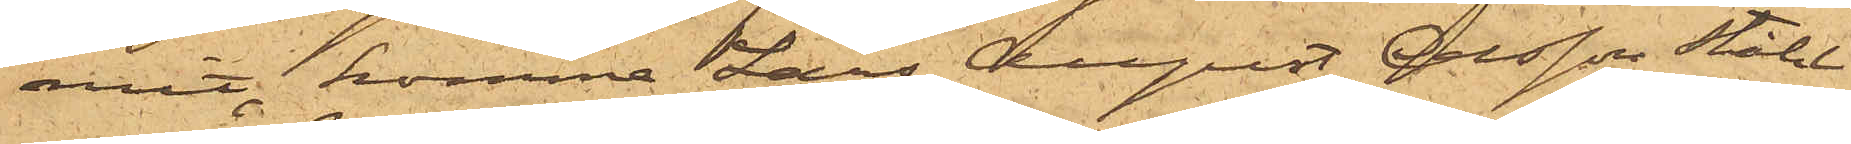mit, kommer Lars August Olsson Ståhl
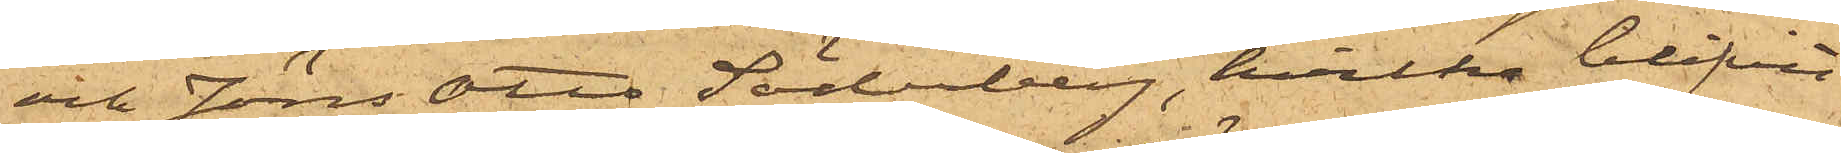och Jöns Otto Söderberg, hvilka blifvit
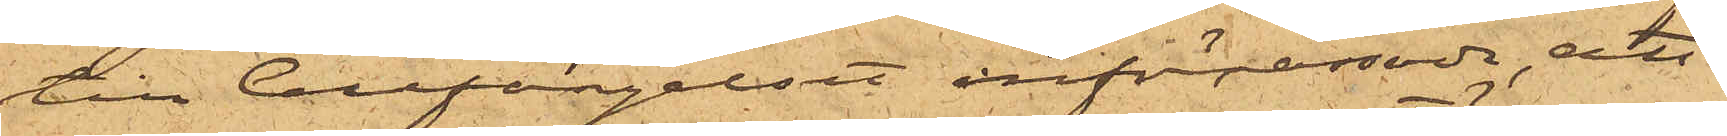till Cellfängelset införpassade, att
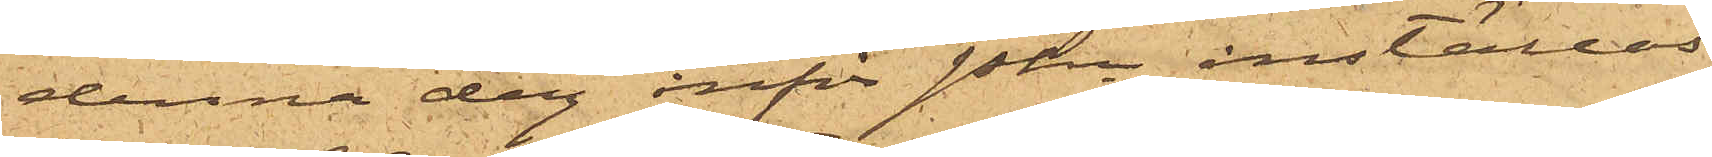denna dag inför Pkn inställas.
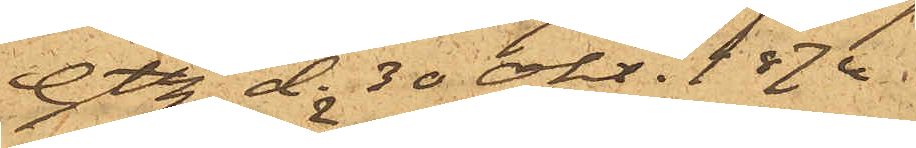Gtbg d. 30 okt., 1874
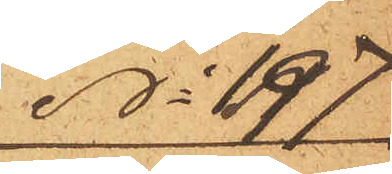No 197
